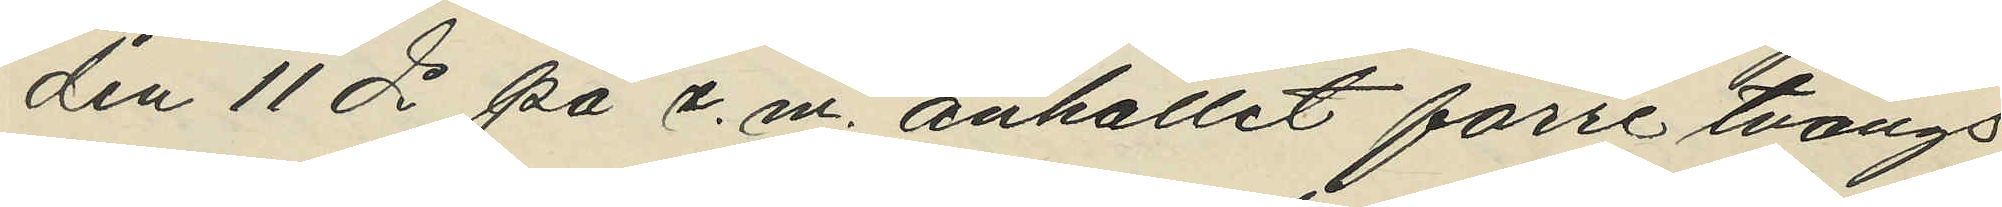den 11 ds på e.m. anhållit förre tvångs¬
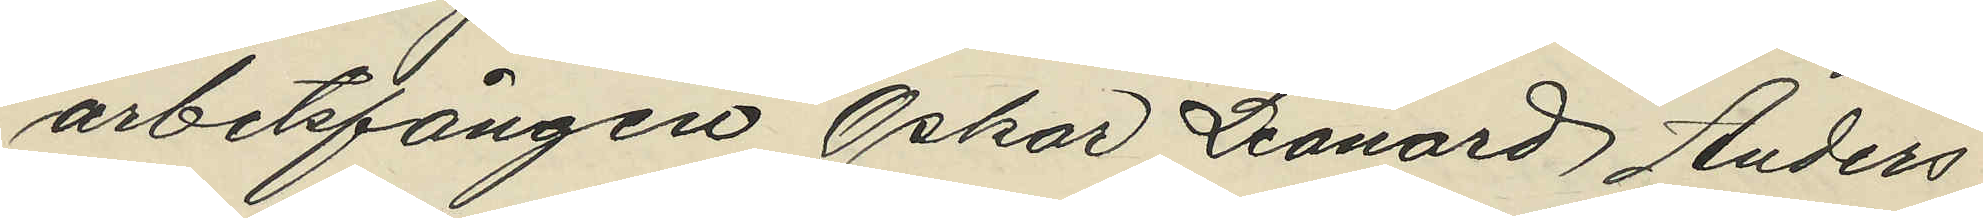arbetsfången Oskar Leonard Anders
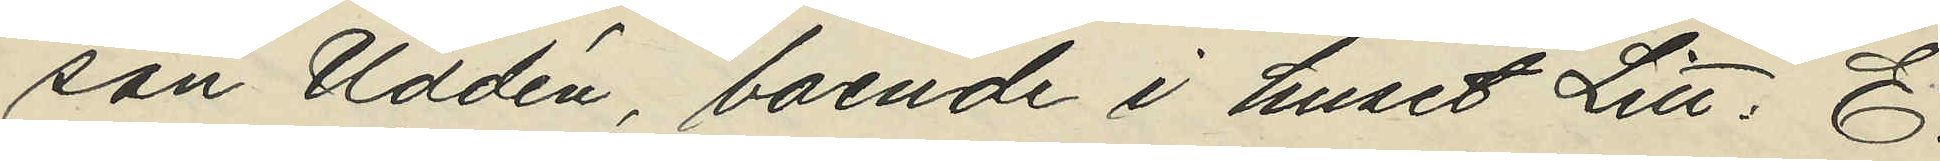son Uddén, boende i huset Litt: E.
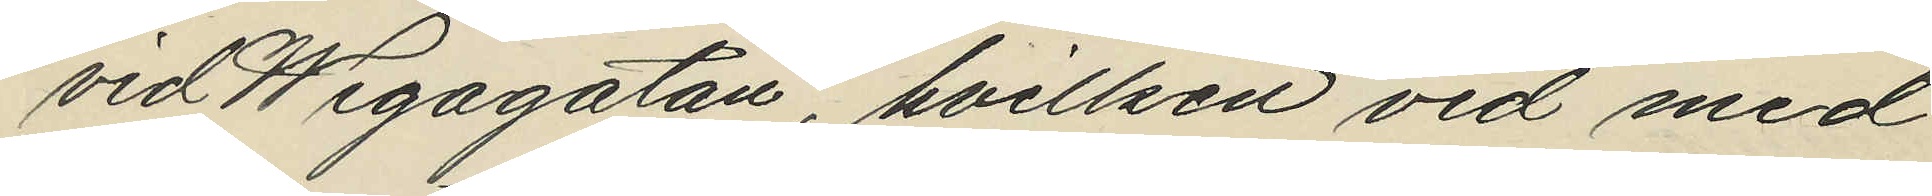vid Wegagatan, hvilken vid med
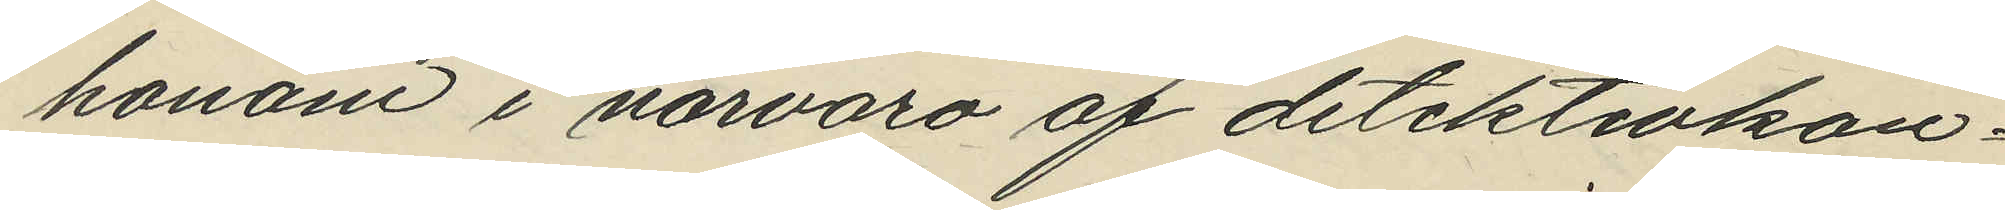honom i närvaro af detektivkon¬
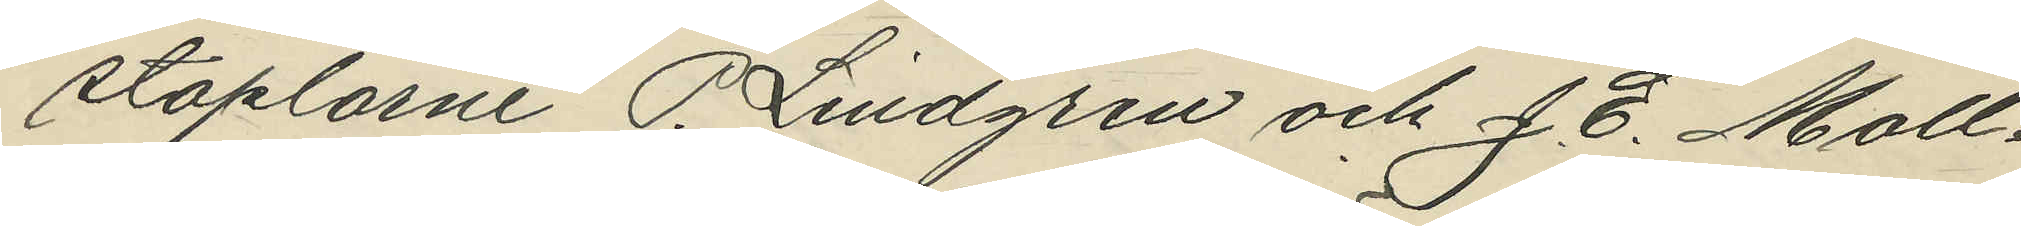staplarne P. Lindgren och J. E. Moll¬
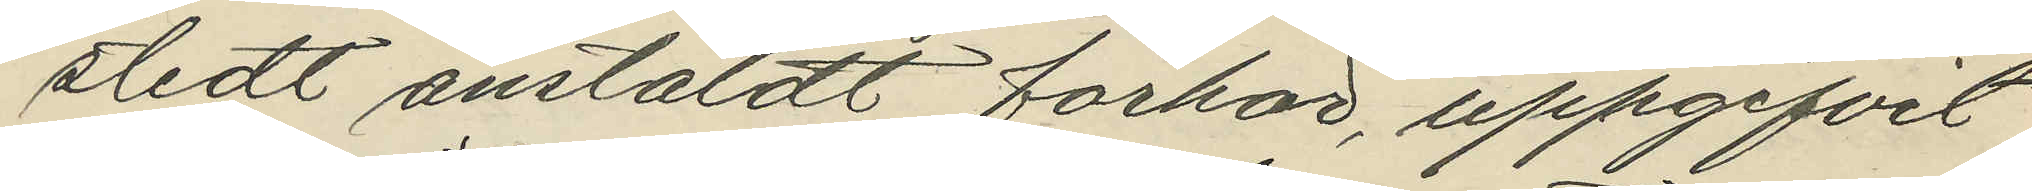stedt anstäldt förhör, uppgifvit
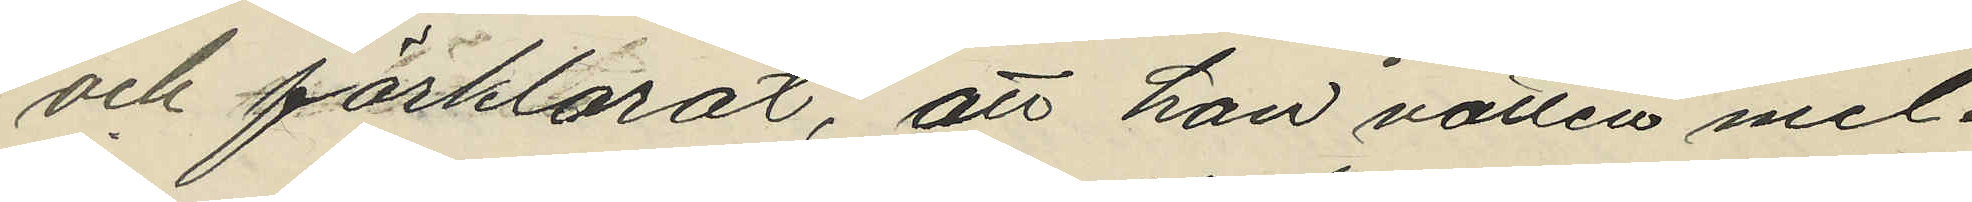och förklarat, att han natten mel¬
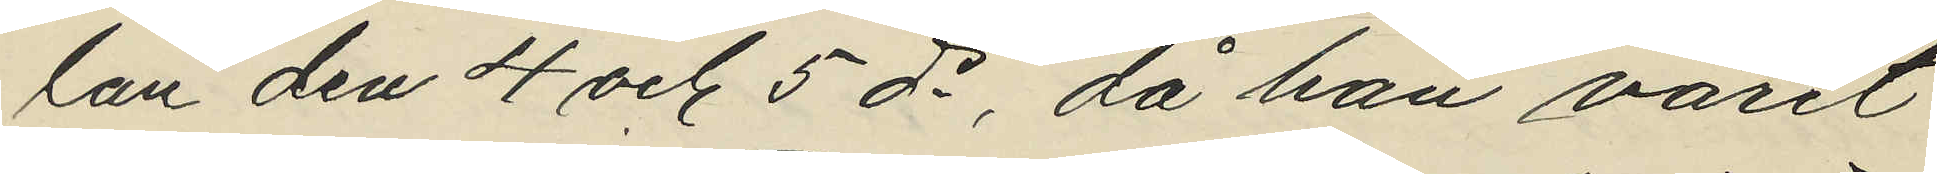lan den 4 och 5 ds, då han varit
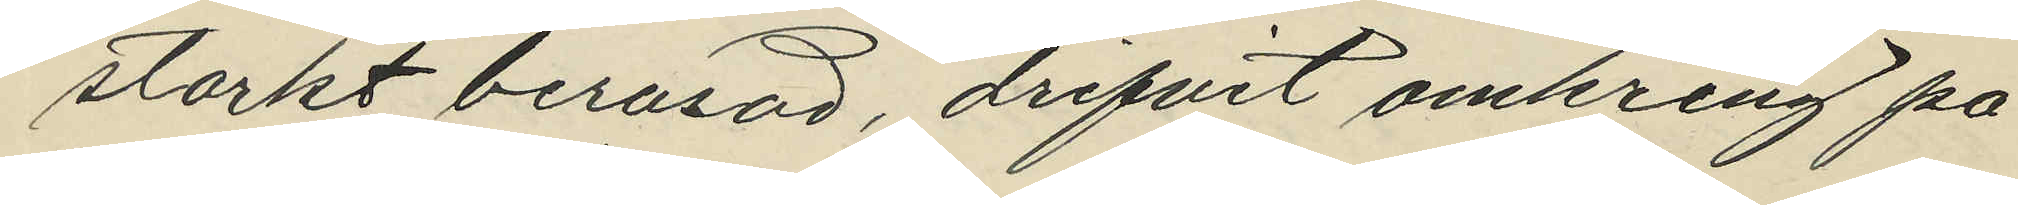starkt berusad, drifvit omkring på
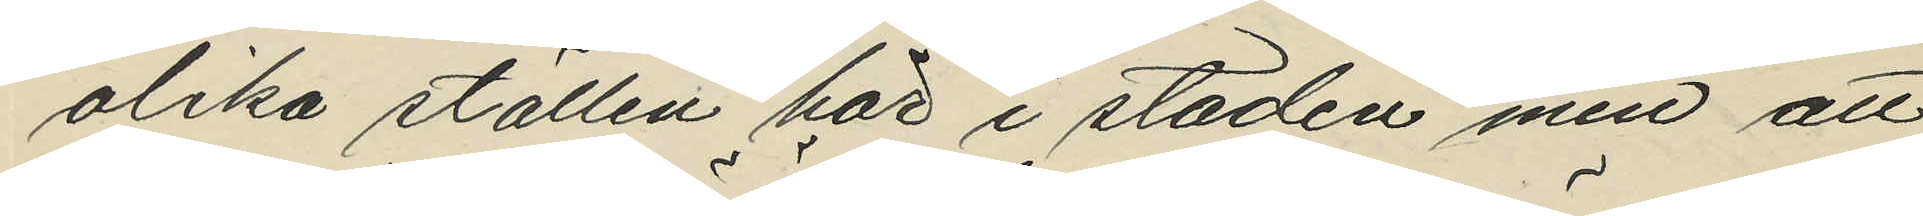olika ställen här i staden men att
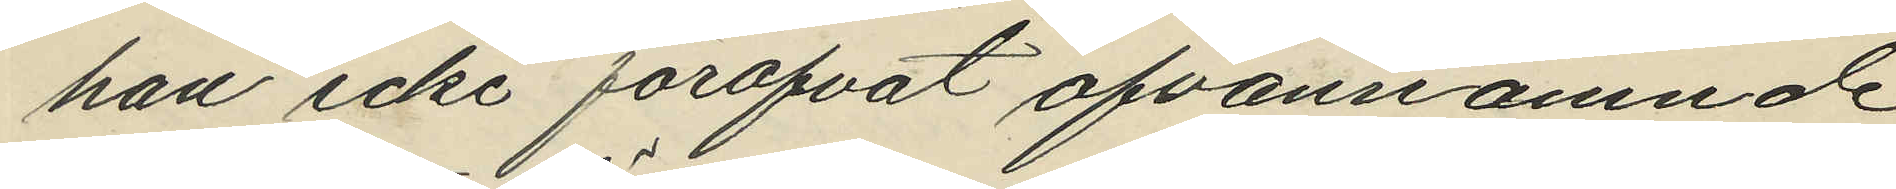han icke föröfvat ofvannämnde
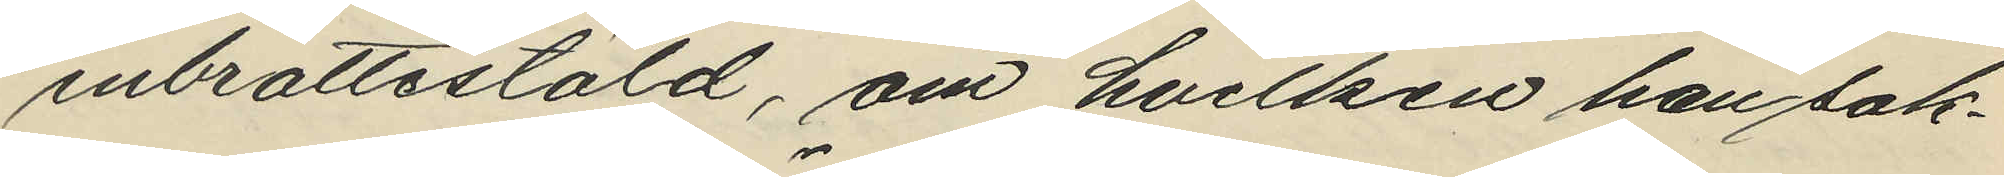inbrottsstöld, om hvilken han sak¬
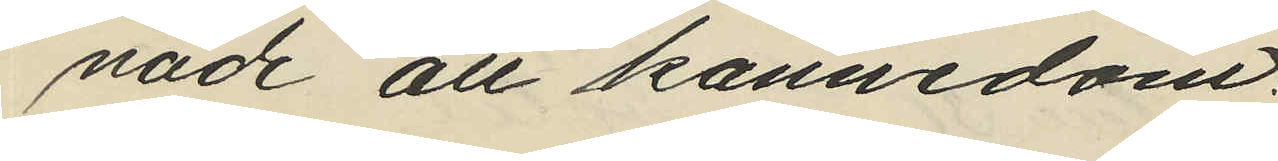nade all kännedom.
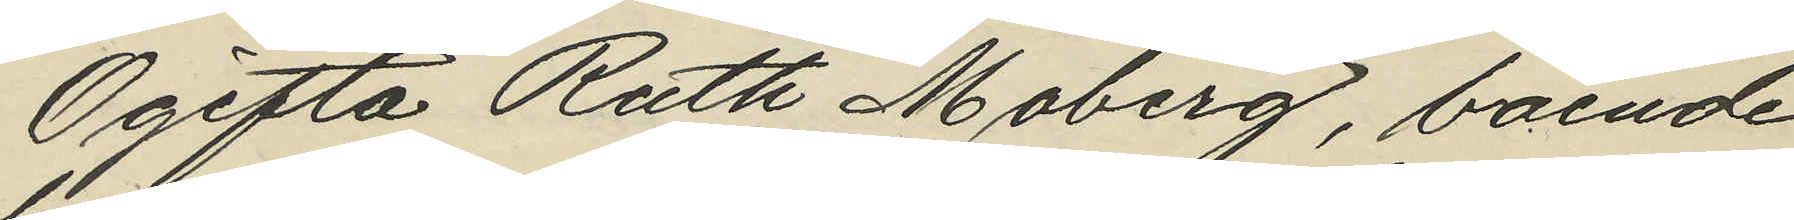Ogifta Ruth Moberg, boende
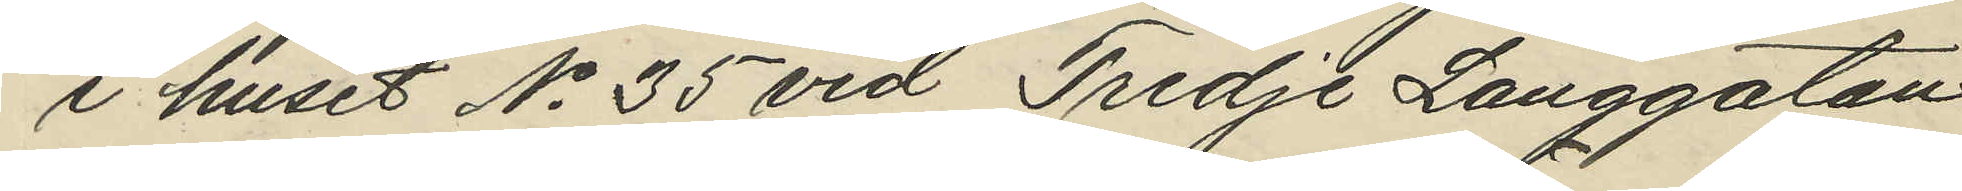i huset No 35 vid Tredje Långgatan
